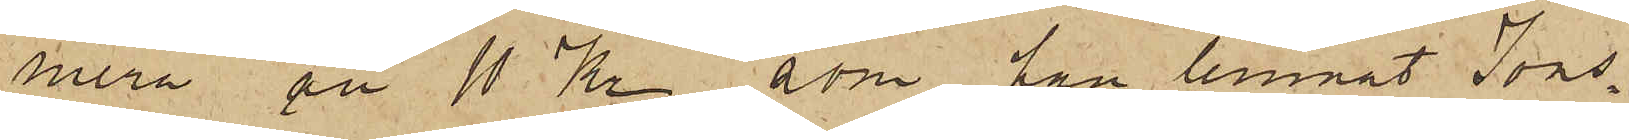mera än 10 Kr, som han lemnat Jons¬
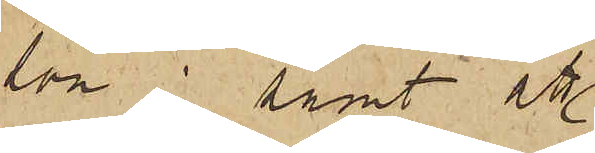son; samt att
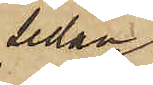sedan
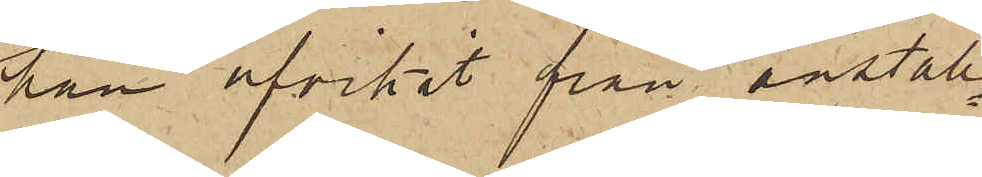han afvikit från anställ¬
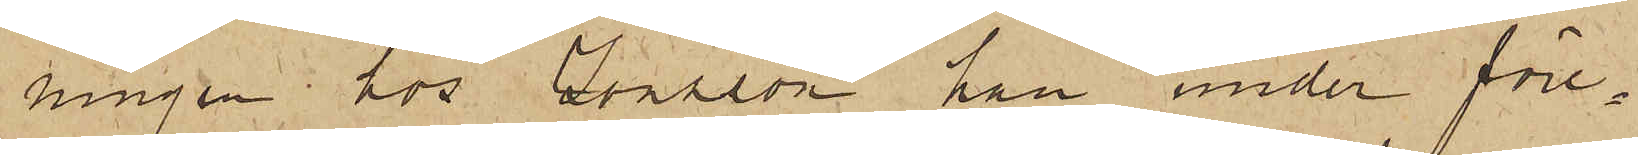ningen hos Jonsson han under före¬
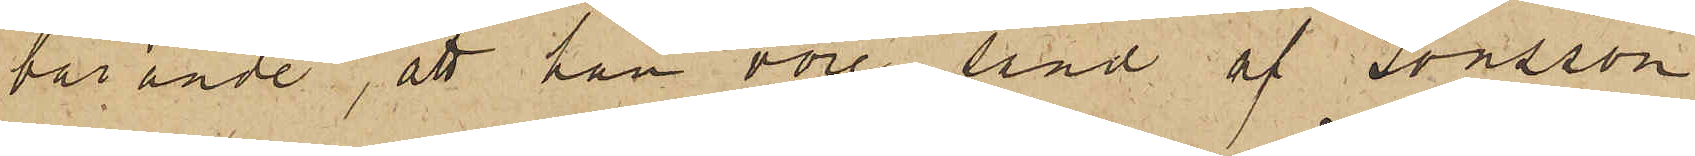bärande, att han vore sänd af Jonsson
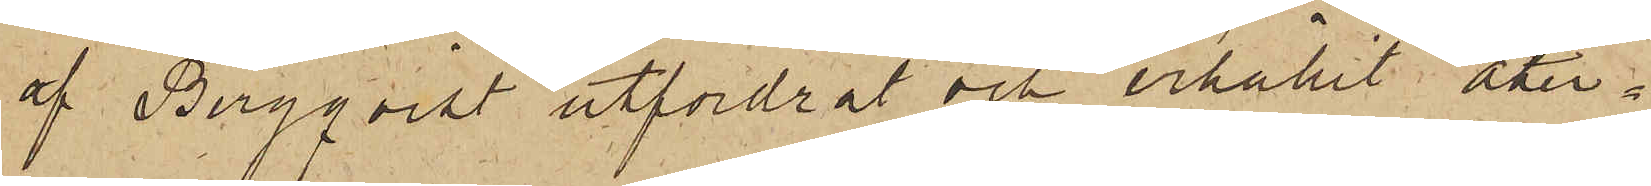af Bergqvist utfordrat och erhållit åter¬
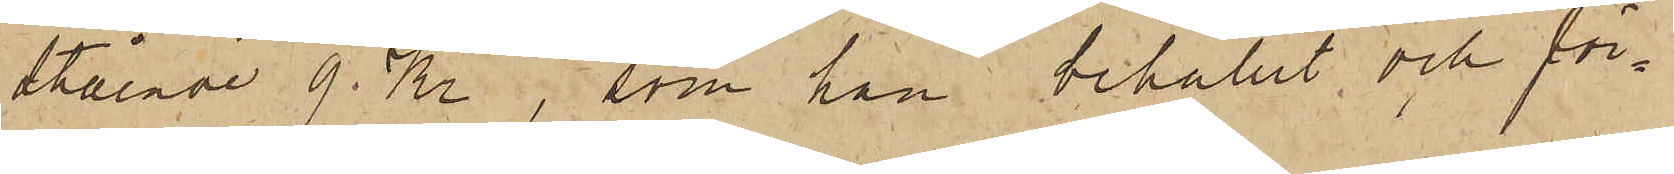stående 9 Kr, som han behållit och för¬
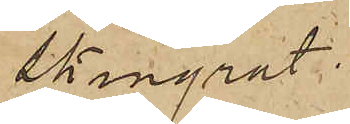skingrat.
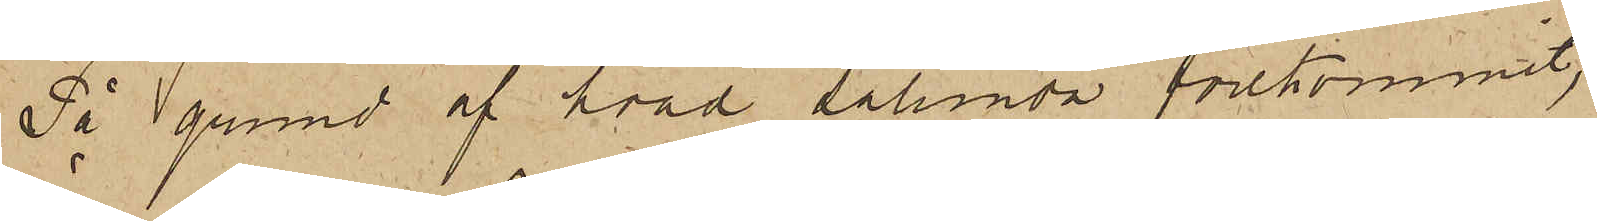På grund af hvad sålunda förekommit,
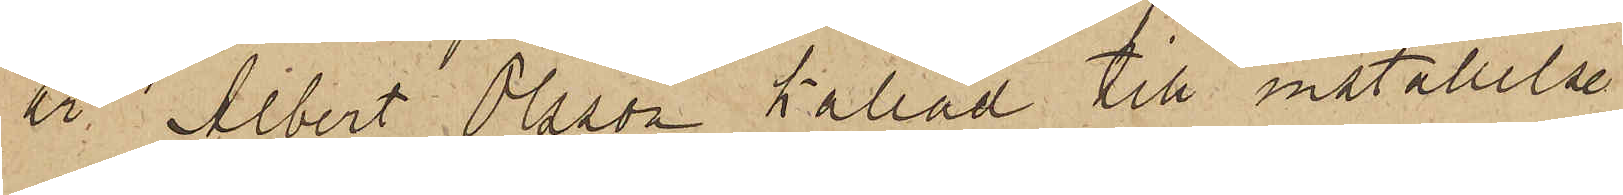är Albert Olsson kallad till inställelse
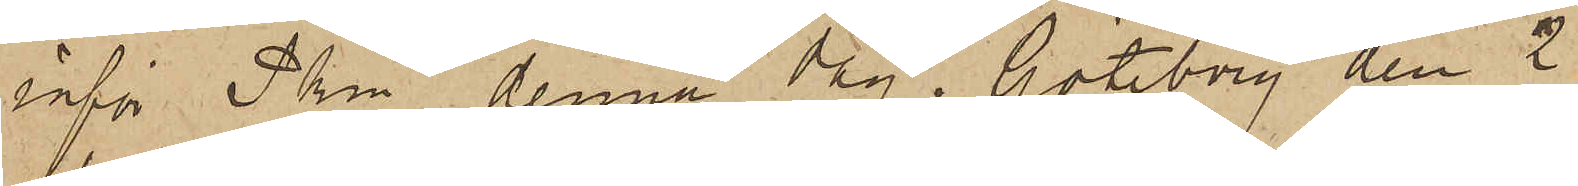inför Pkn denna dag. Göteborg den 2
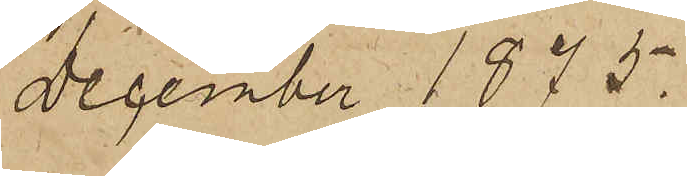December 1875.
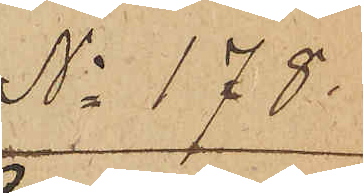No 178.
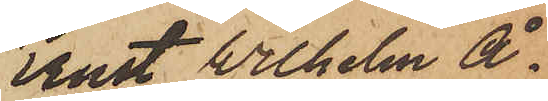Ernst Wilhelm Å¬
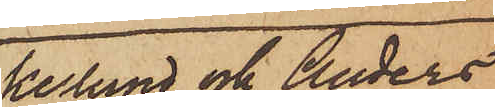kerlund och Anders
